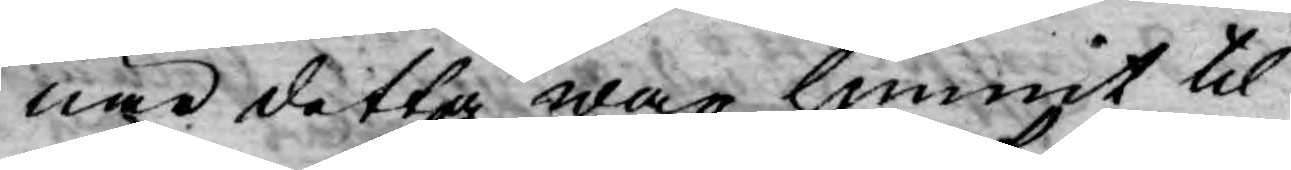när detta war hunnit til
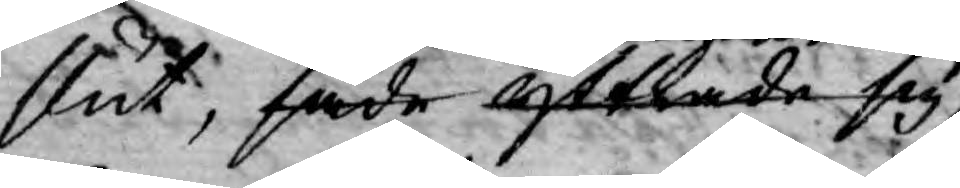slut, sade yttrade sig
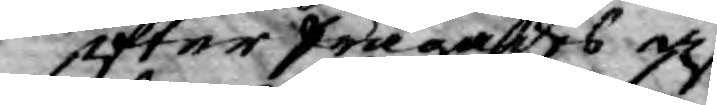efterfrågades af
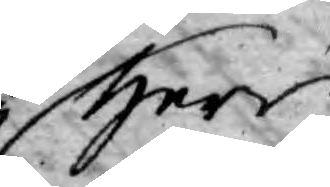Herr
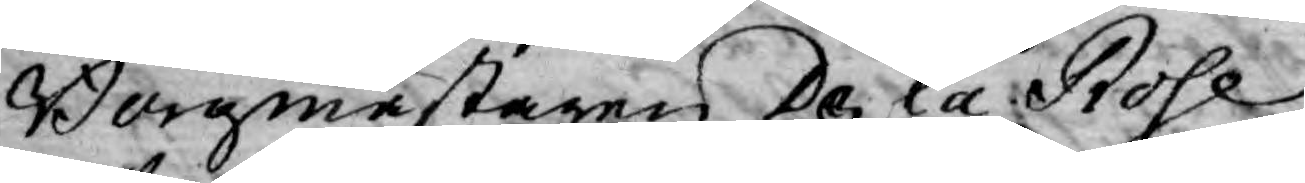Borgmästaren De la Rose
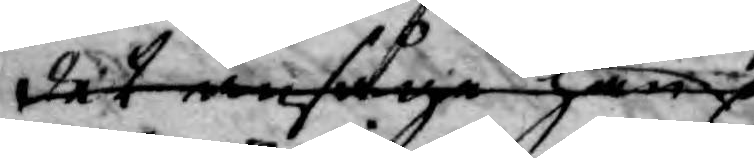det ansåge han
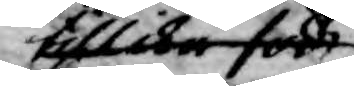tillika före
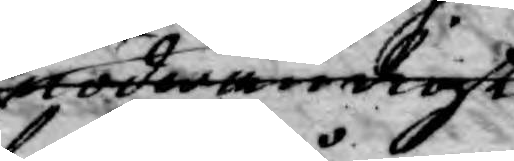nödvändigt
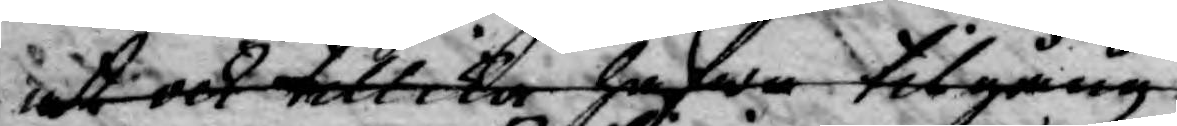at och tillika hafwa tilgång
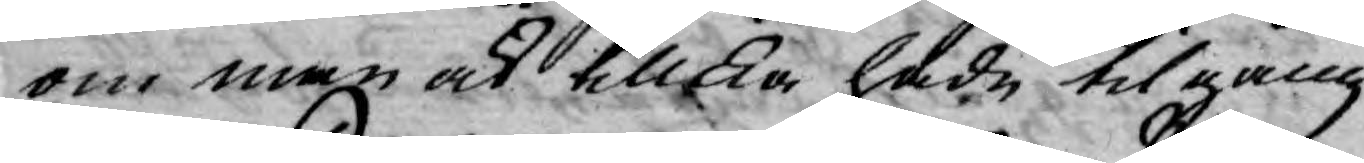om man ock tillika hade tilgång
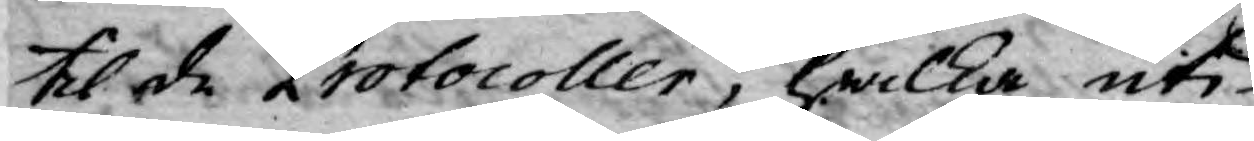til de Protocoller, hwilka uti
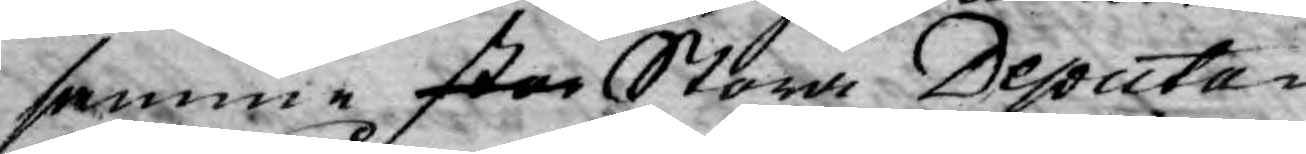samma stor Stora Deputa¬
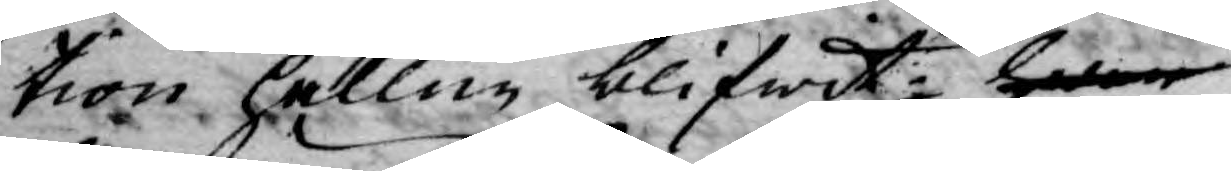tion hållen blifwit; hwar
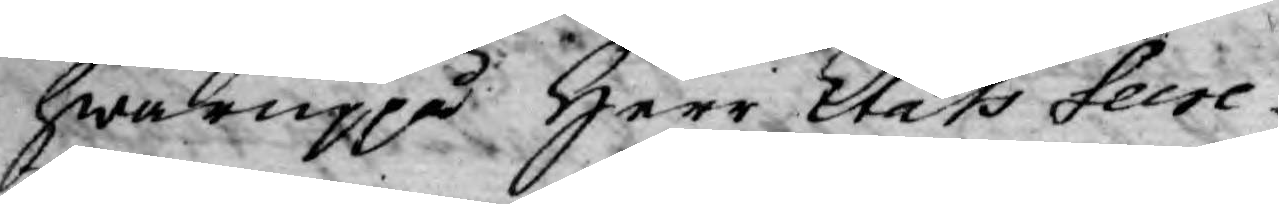hwaruppå Herr Stats Secre¬
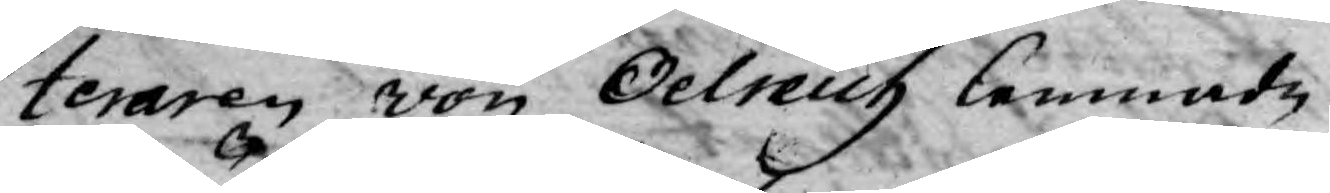teraren von Oelreich lemnade
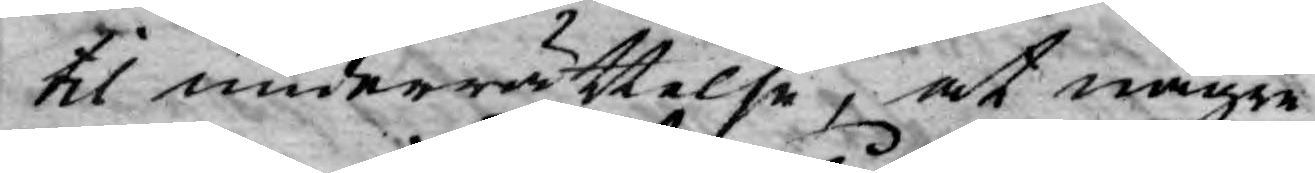til underrättelse, at någre
